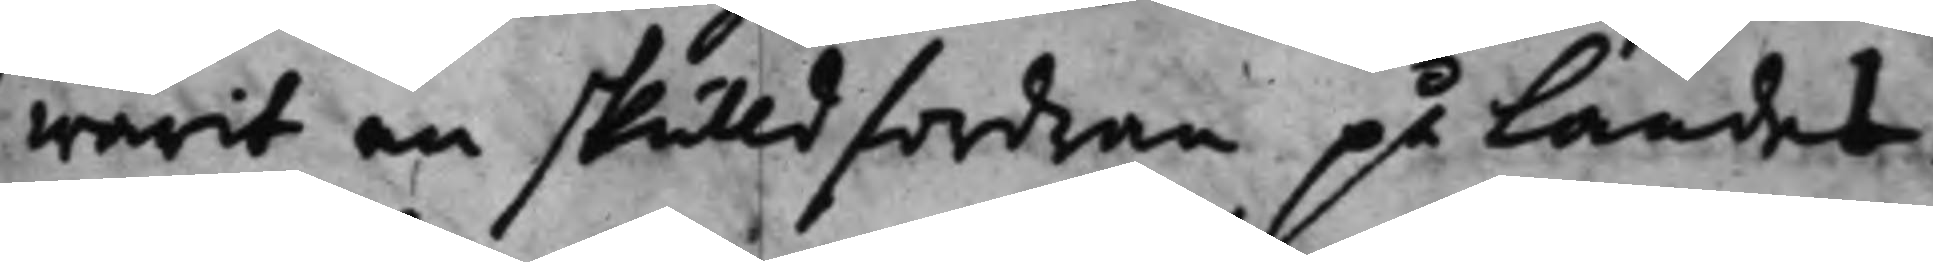warit en skulldfordran på landet.
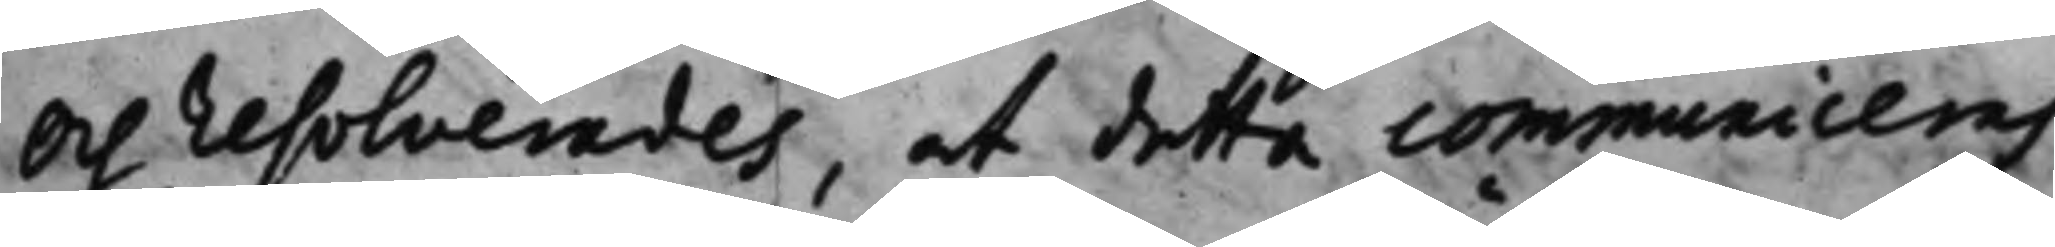Och resolverades, at detta communiceras
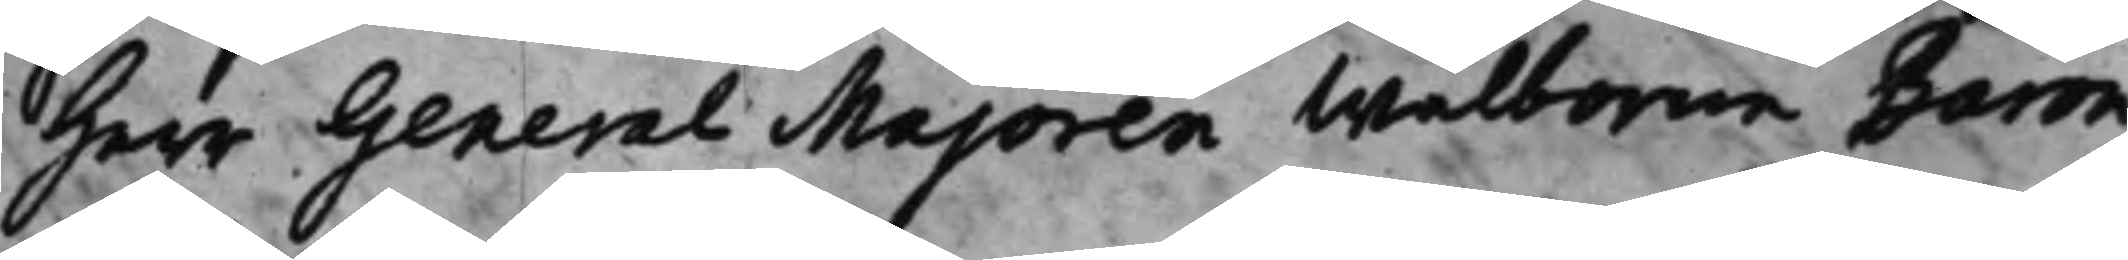Herr General Majoren Wälborne Baron
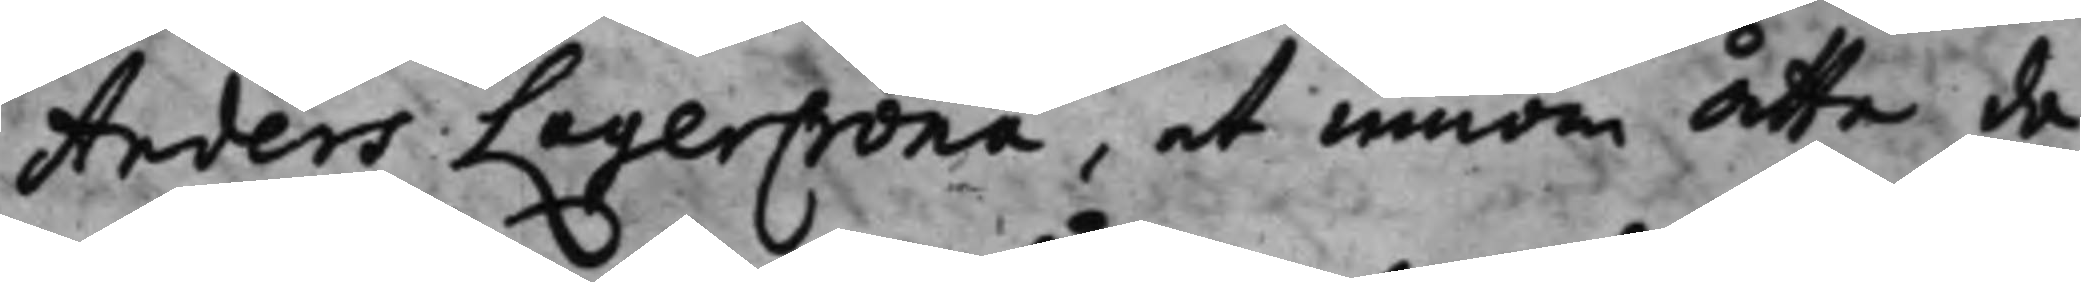Anders LagerCrona, at innom åtta da¬
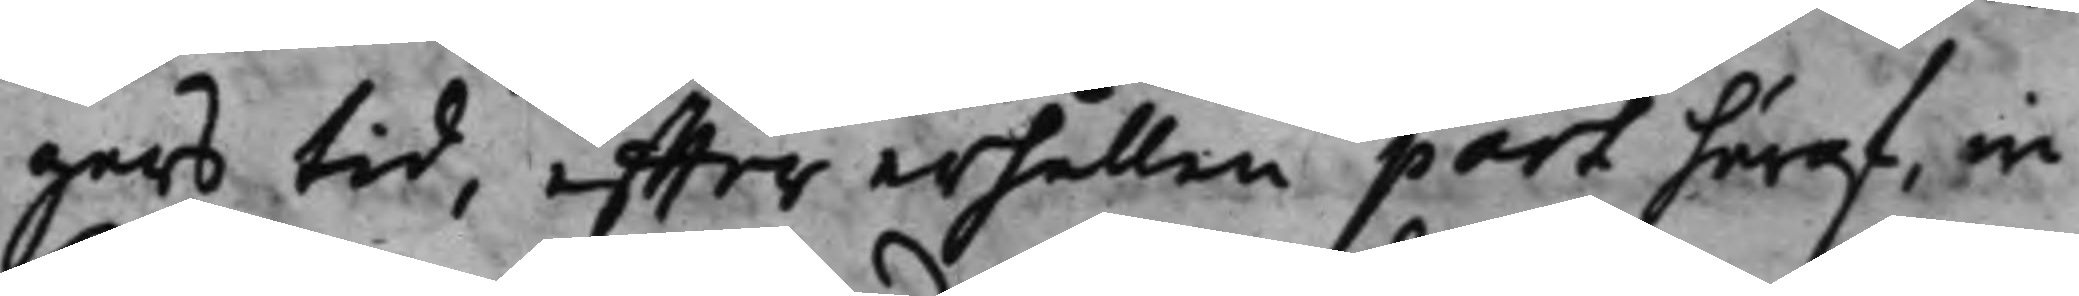gars tid, effter erhållen part häraf, in¬
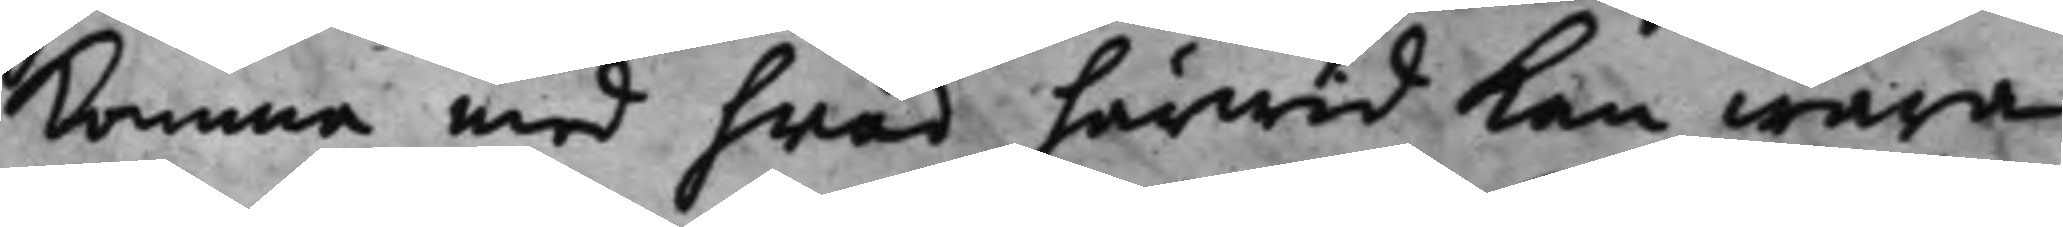komma med hwad härwid kan wara
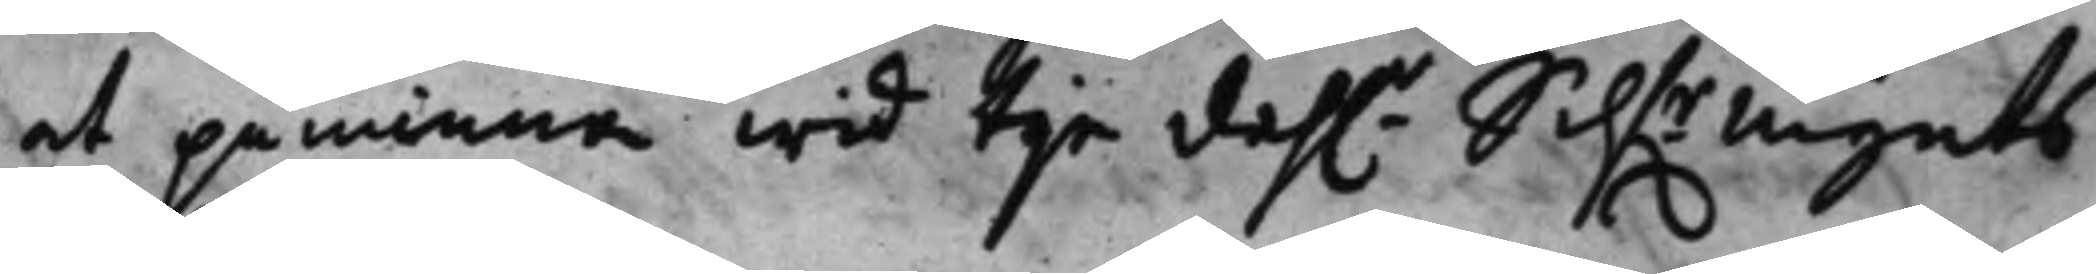at påminna wid tije dah.r Silf.rMynts 
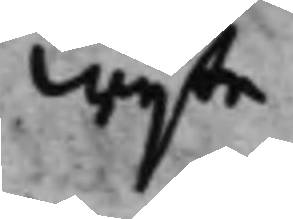wijte.
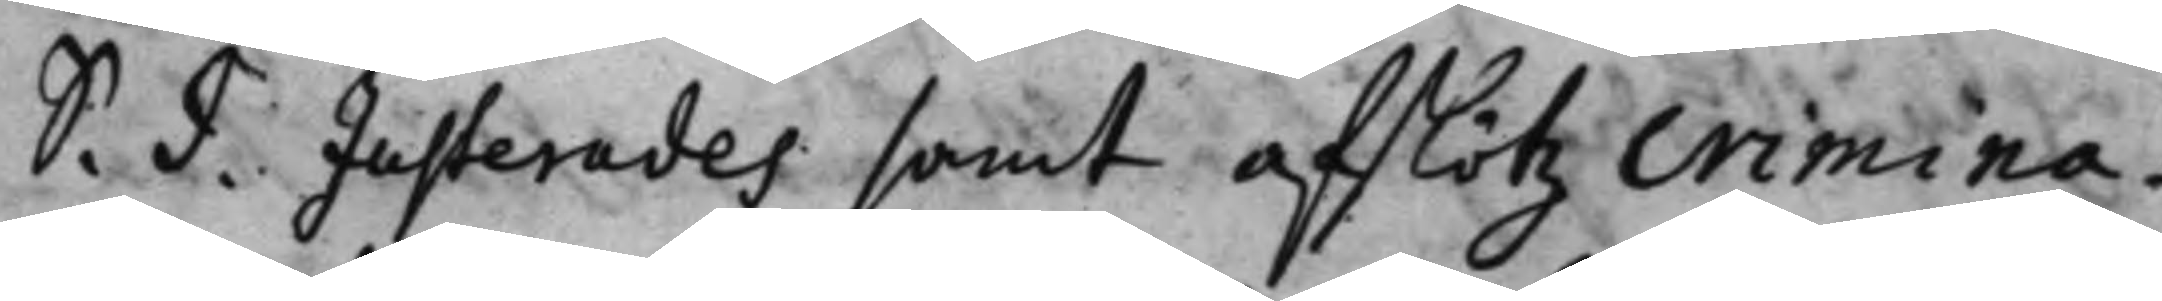S. d. Justerades samt afslötz crimina¬ 
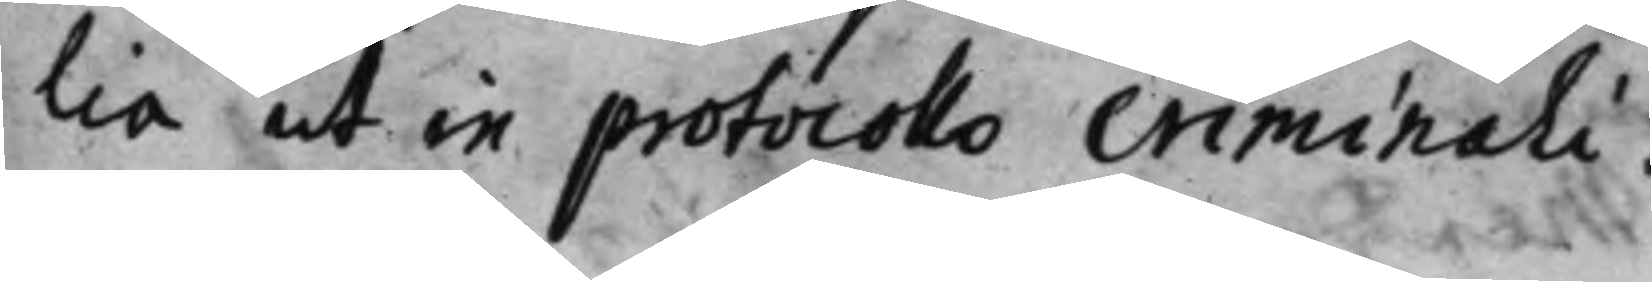lia ut in protocollo criminali.
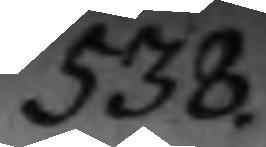538.
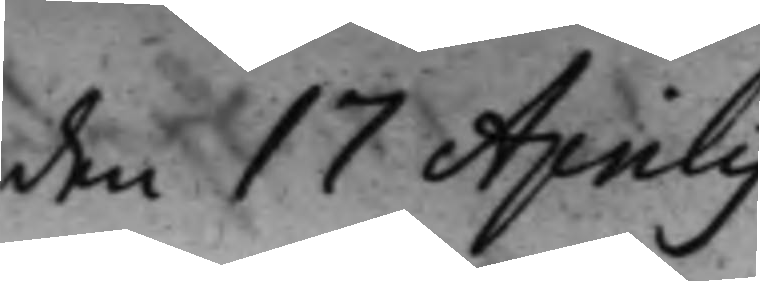den 17 Aprilis
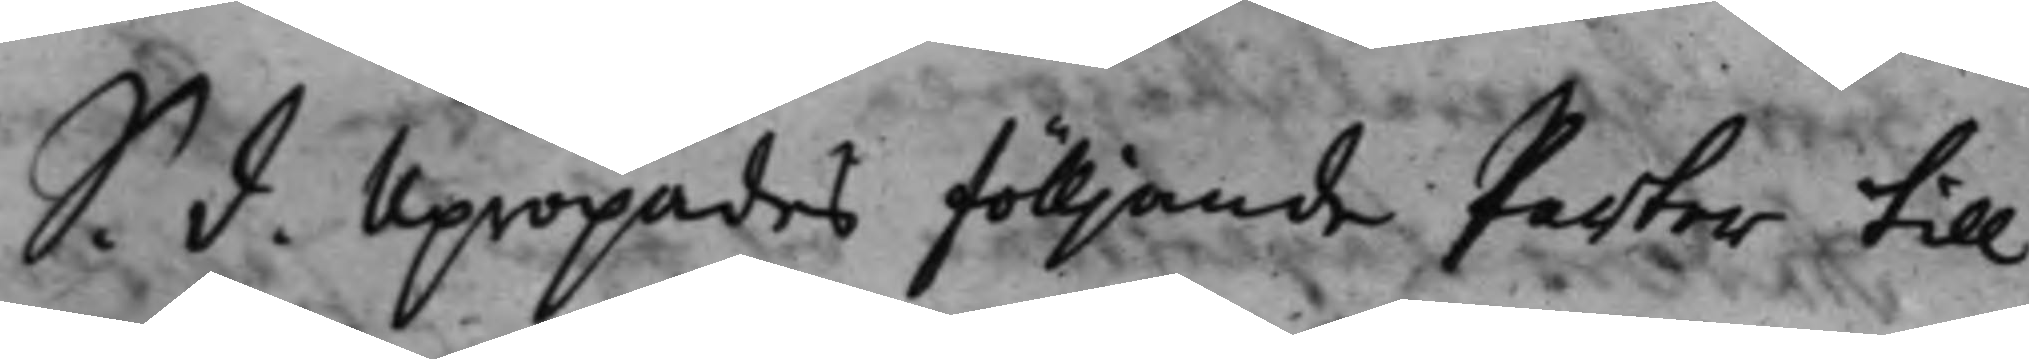S. d. Upropades fölljande Parter till 
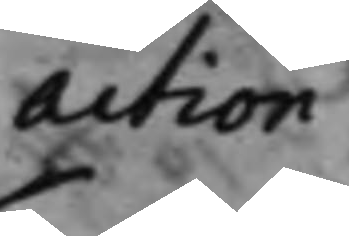action:
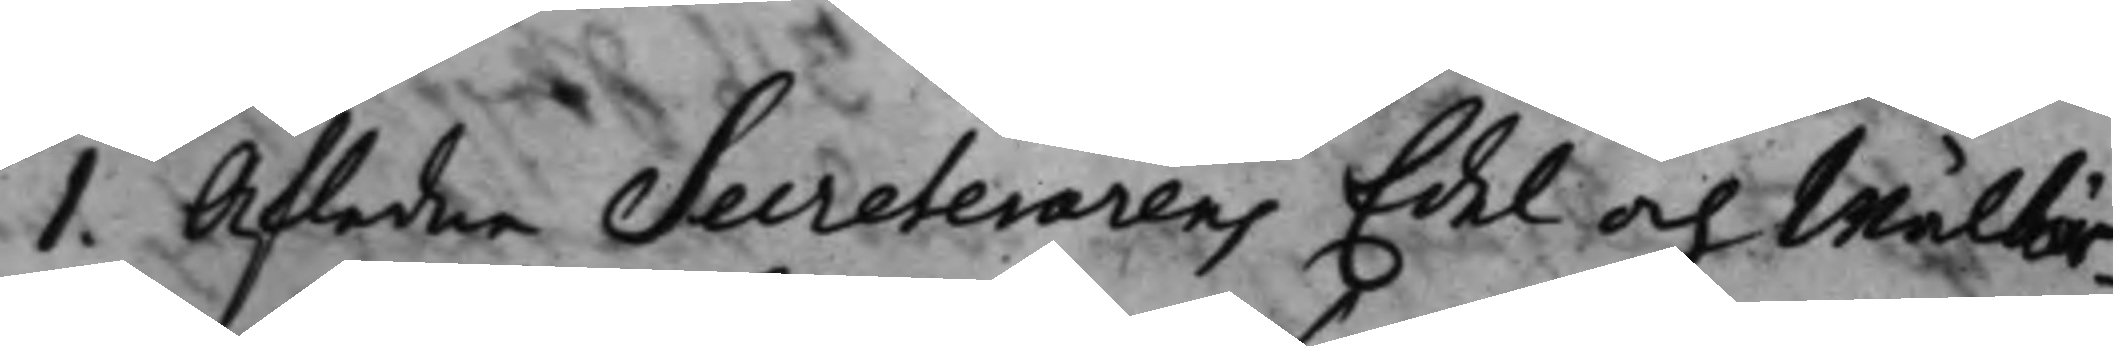1. Afledne Secreterarens Edel och Wälbör¬
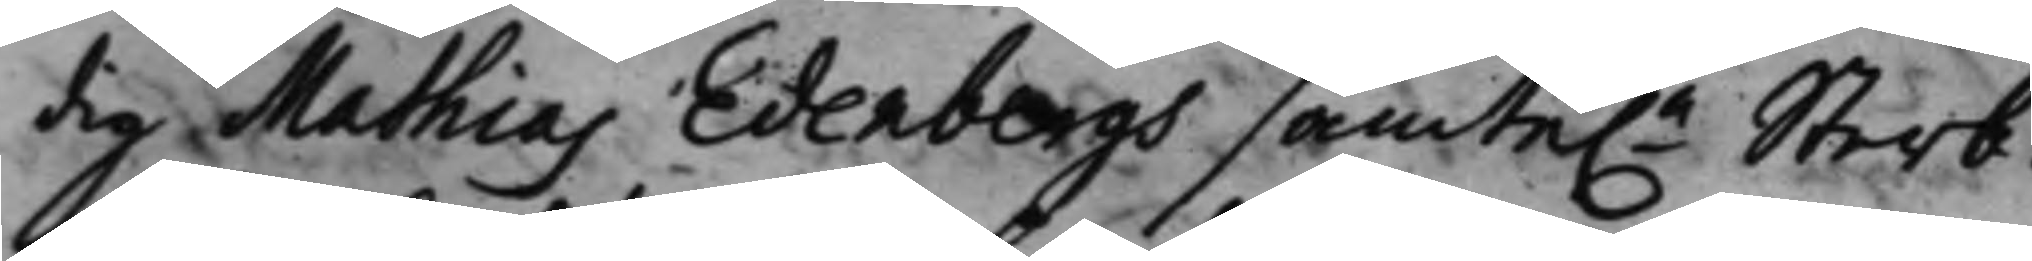dig Mathias Edenbergs samte.e Sterb¬ 
